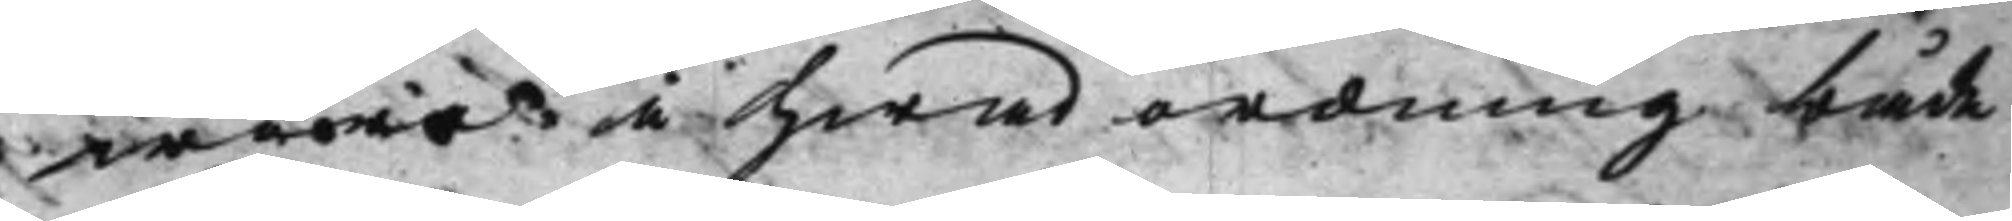ware å hwad ordning både
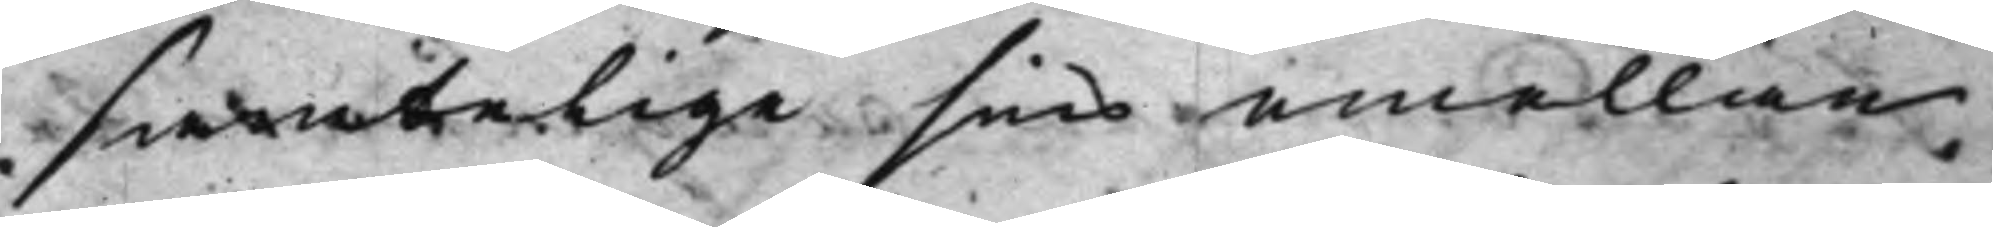samtelige sins emellan
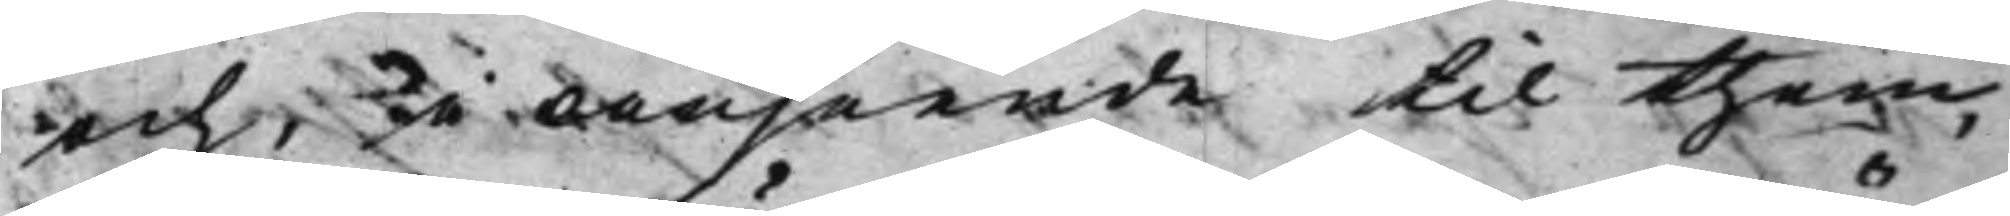och, i anseende til them
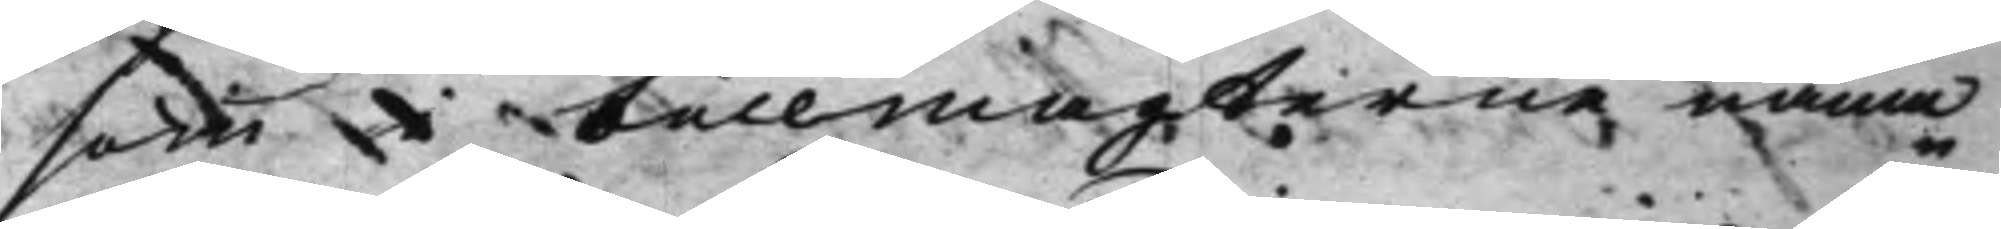som i Fullmagterne nämn¬
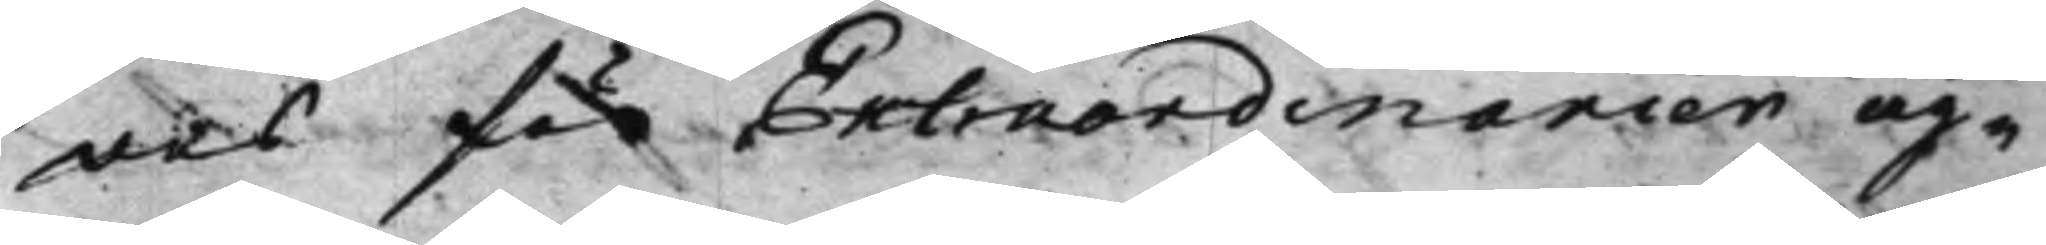des för Extraordinanier äg¬
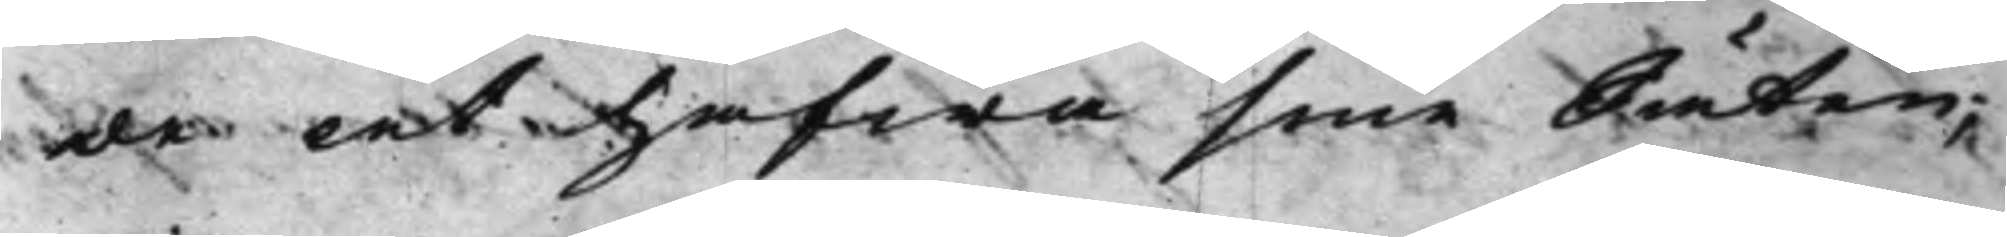de at hafwa sine Säten;
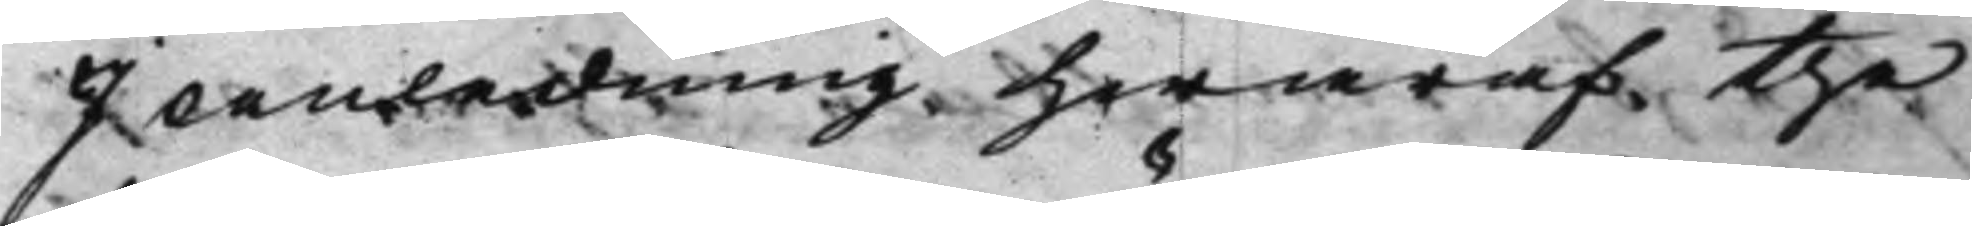I anledning hwaraf the
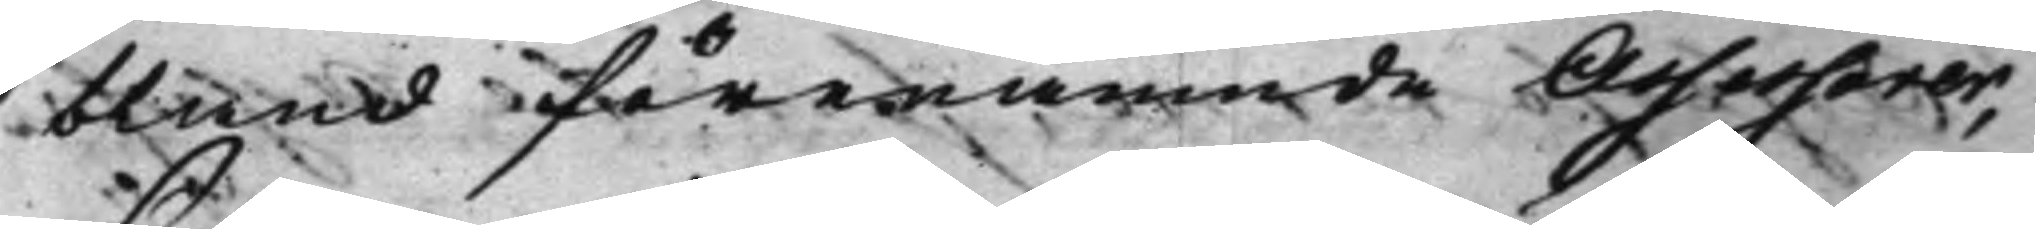bland förenämnde Assessorer,
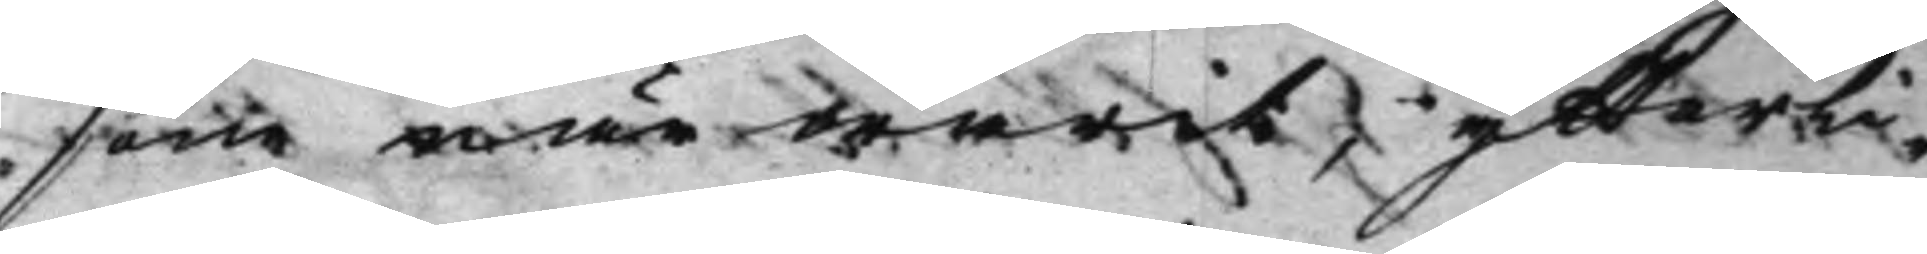som närwarit, ytterli¬
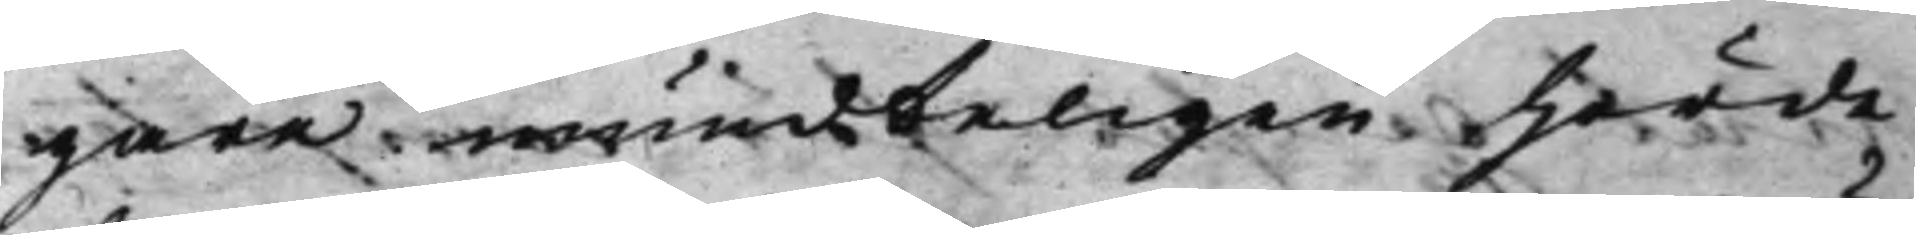gare mundteligen hörde
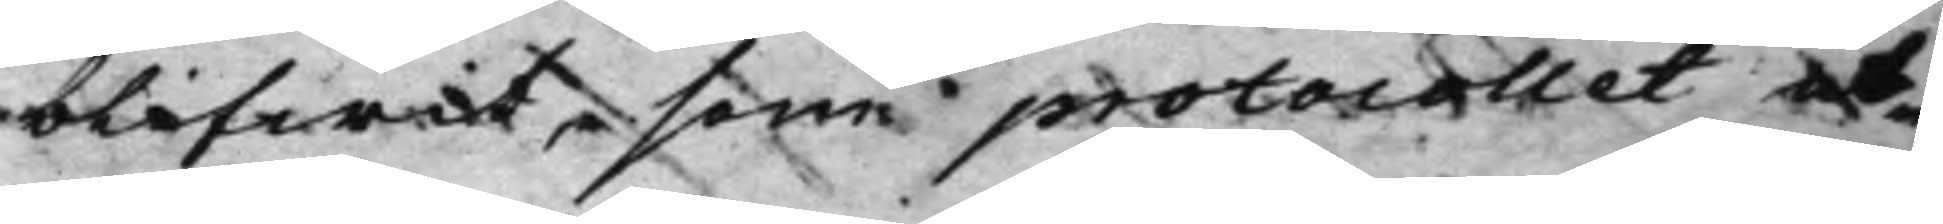blifwit, som protocollet ut¬
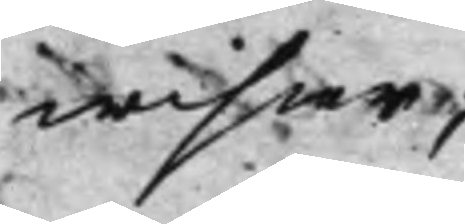wisar;
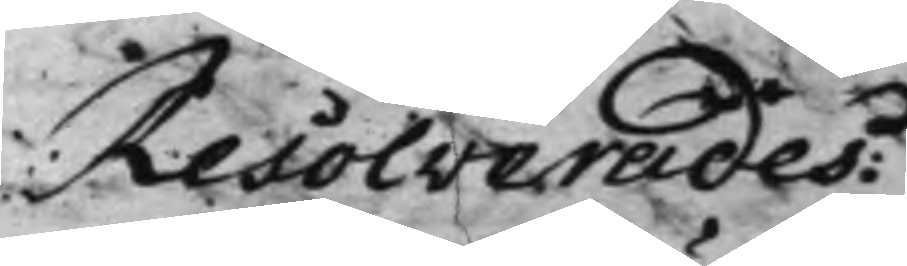Resolverades:
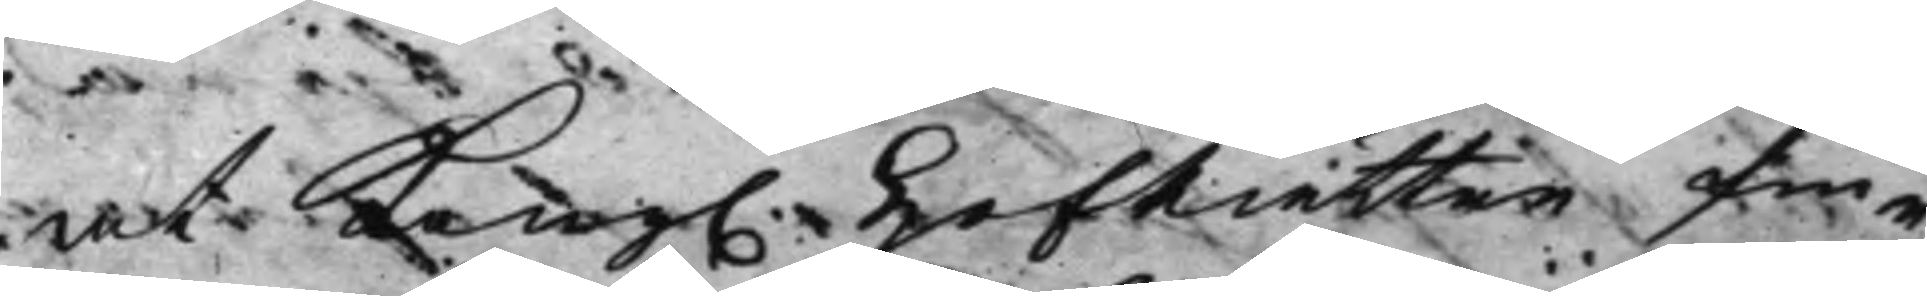At Kong. HofRätten fin¬ 
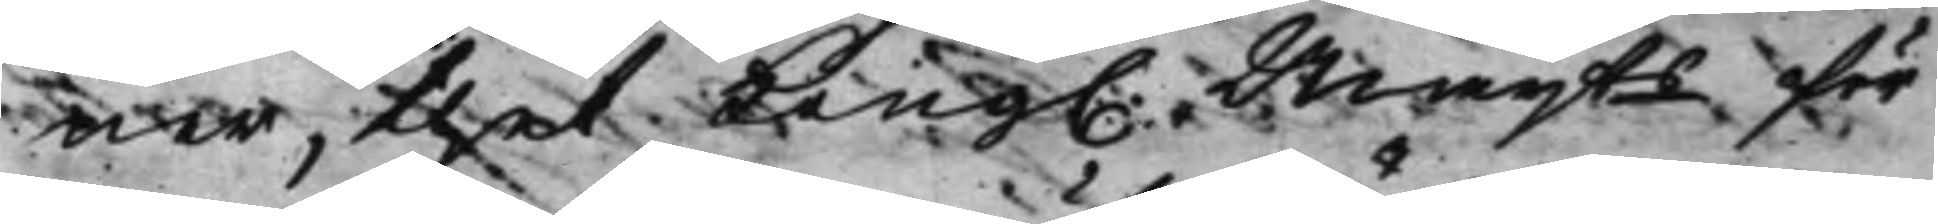ner, thet Kong. Maijts för 
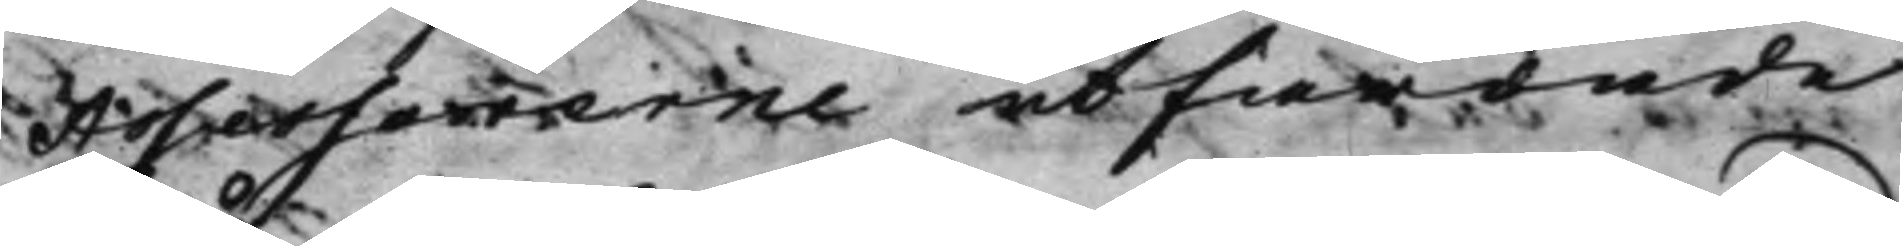Assessorerne utfärdade
